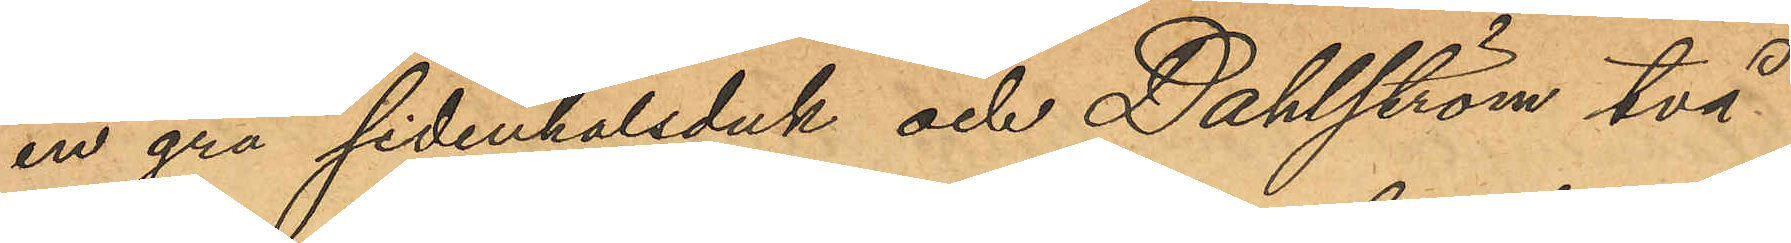en grå sidenhalsduk och Dahlström två
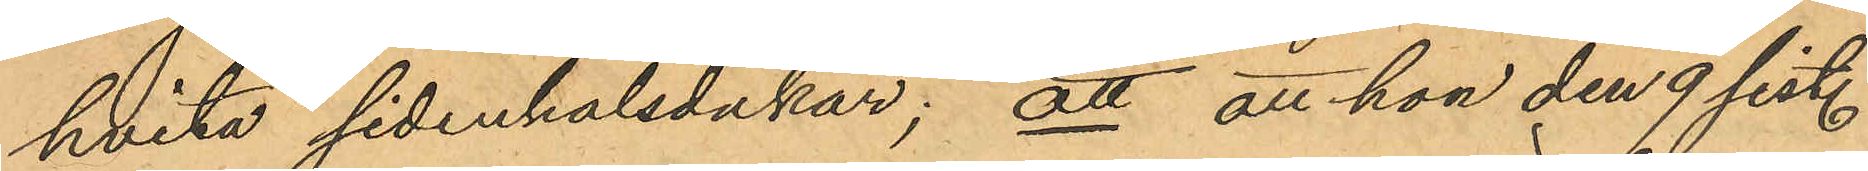hvita sidenhalsdukar; att att hon den 9 sist.
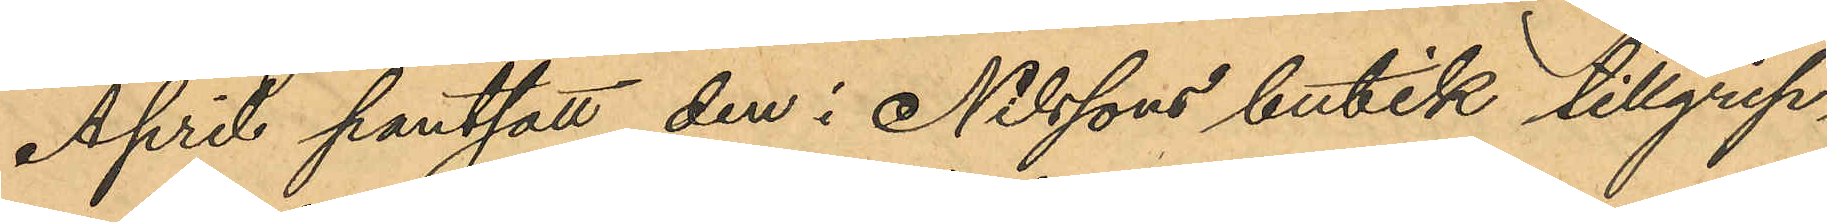April pantsatt den i Nilssons butik tillgrip¬
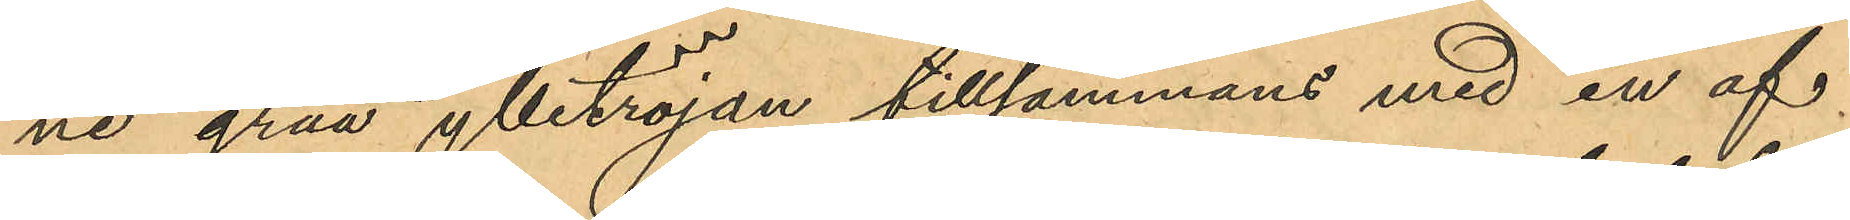ne gråa ylletröjan tillsammans med en af
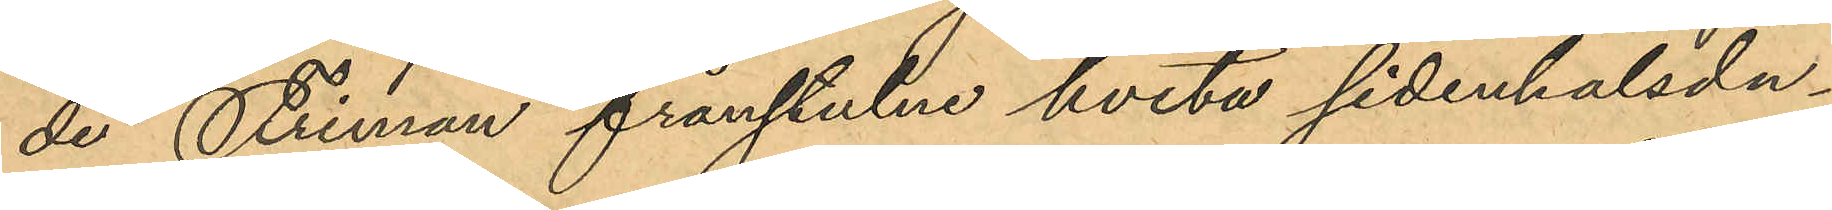de Friman frånstulne hvita sidenhalsdu¬
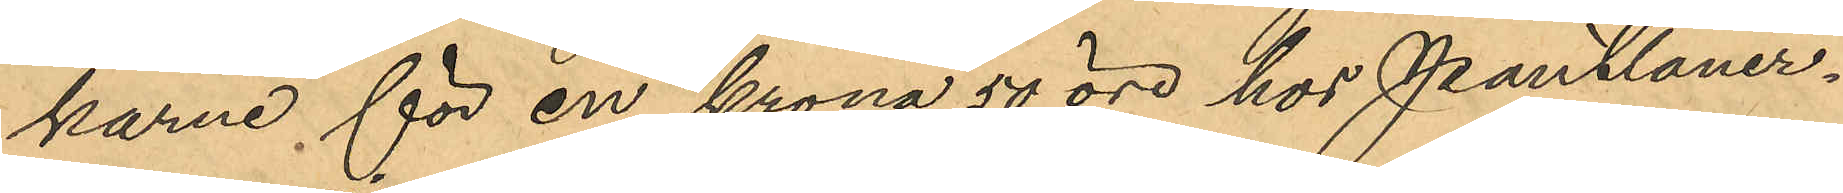karne för en krona 50 öre hos Pantlåner¬
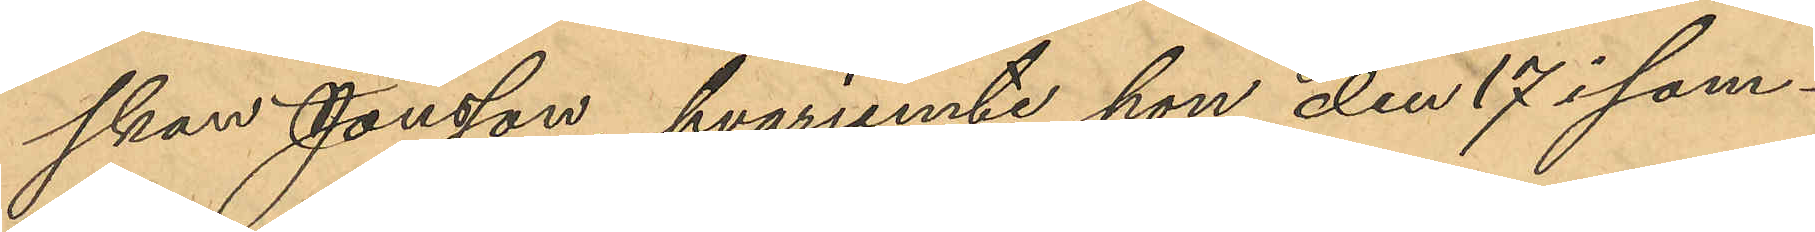skan Jonsson, hvarjemte hon den 17 i sam¬
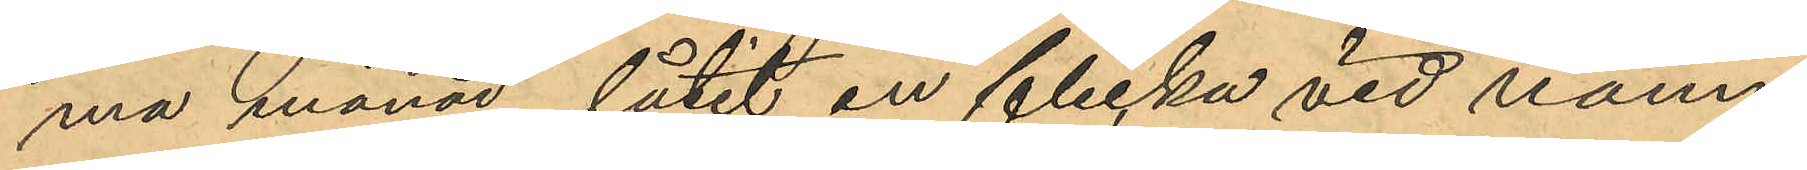ma månad låtit en flicka vid namn
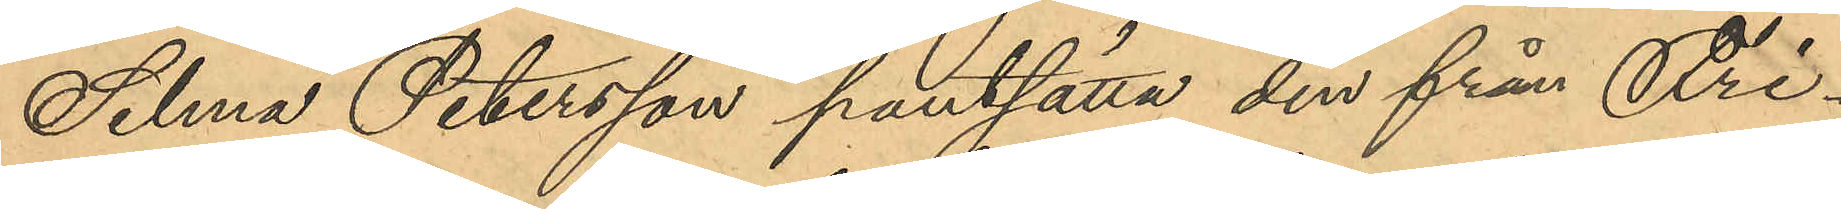Selma Petersson pantsätta den från Fri¬
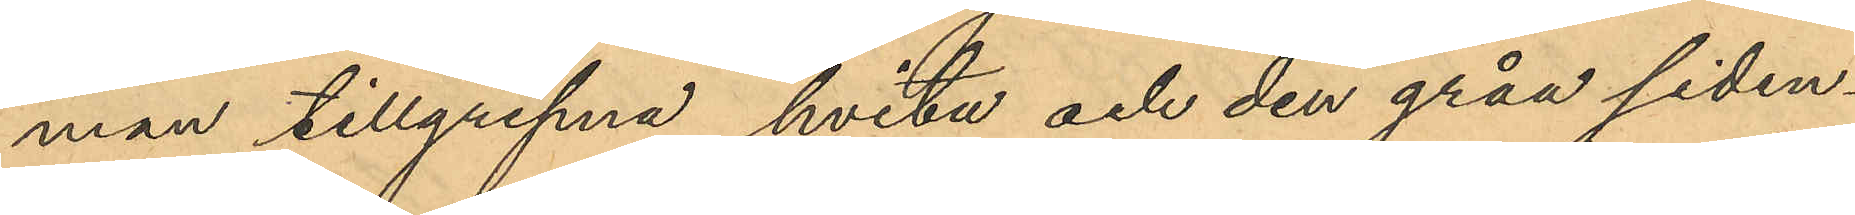man tillgripna hvita och den gråa siden¬
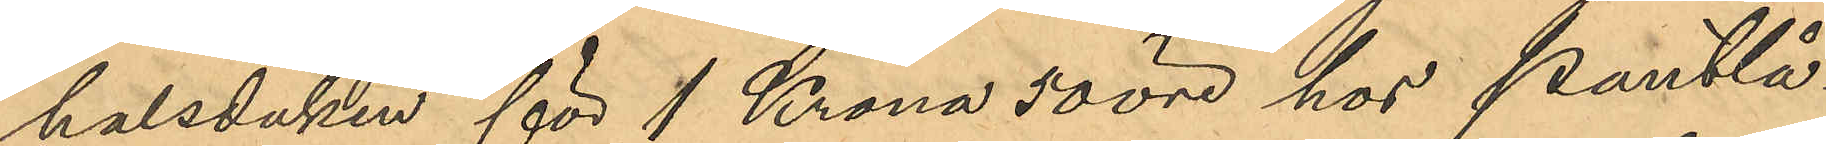halsduken för 1 Krona 50 öre hos Pantlå¬
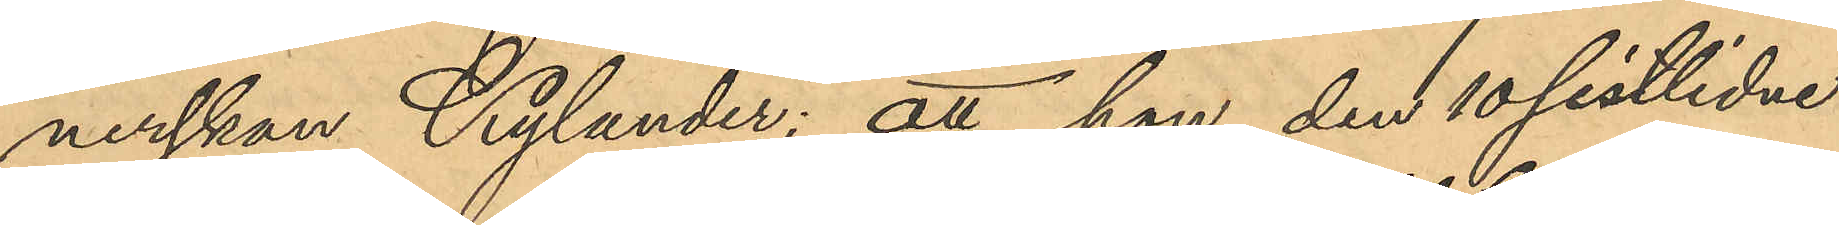nerskan Kylander; att hon den 10 sistlidne
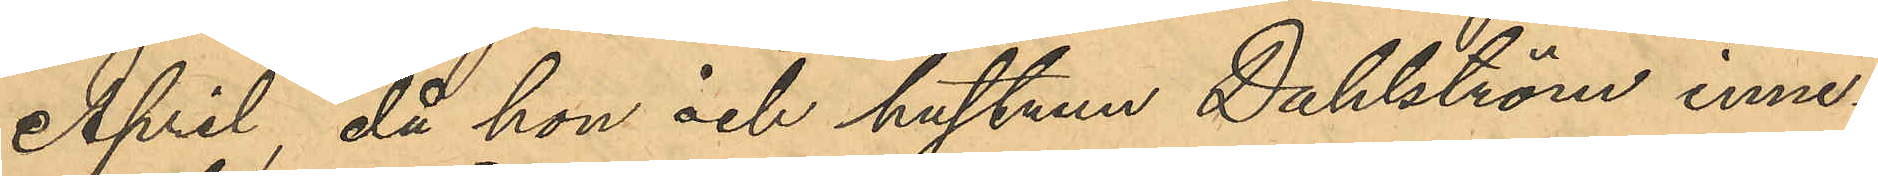April, då hon och hustrun Dahlström inne¬
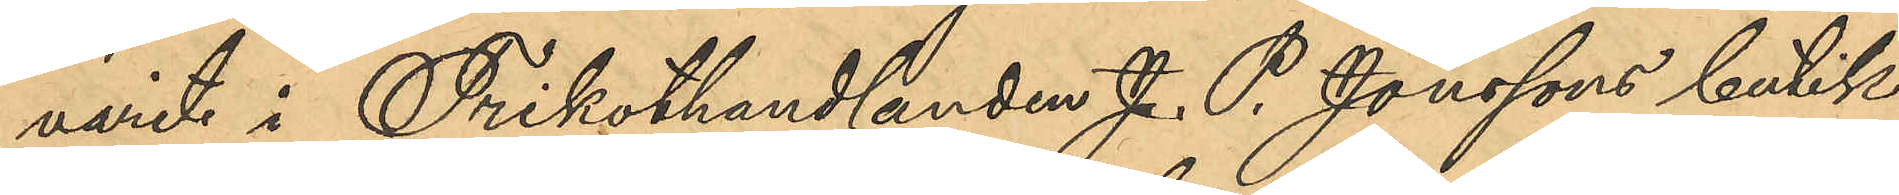varit i Trikothandlanden J. P. Jonssons butik
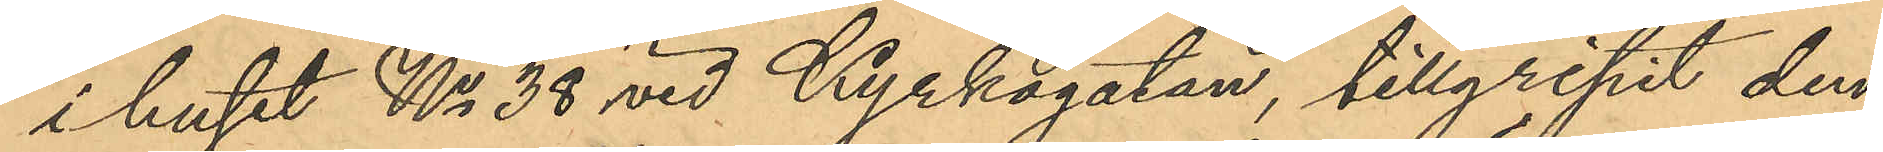i huset No 38 vid Kyrkogatan, tillgripit den
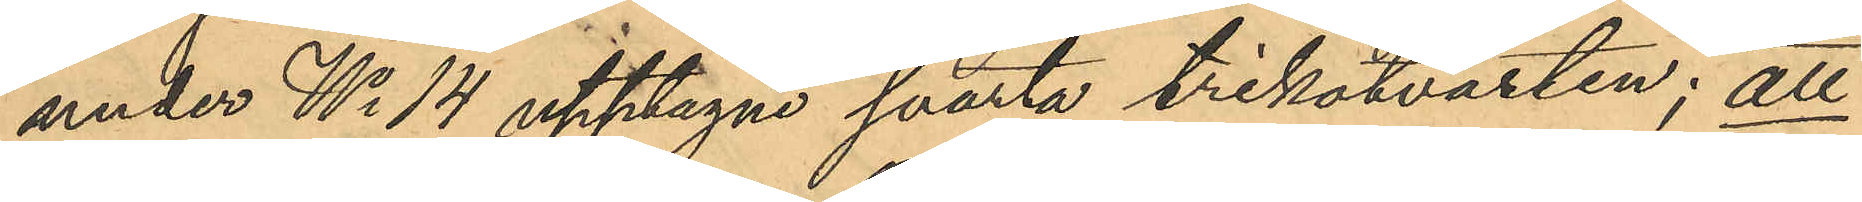under No 14 upptagne svarta trikotvästen; att
